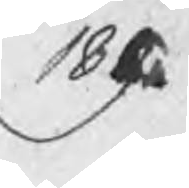189.
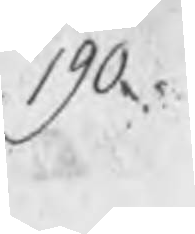190.
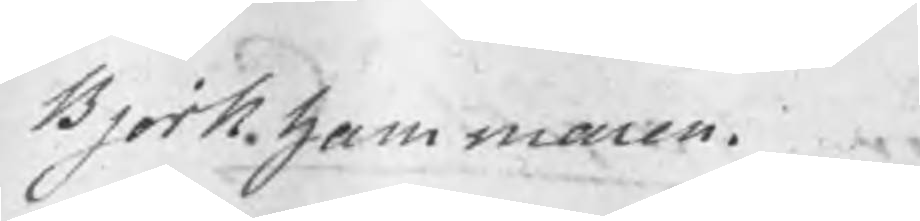Björkhammaren.
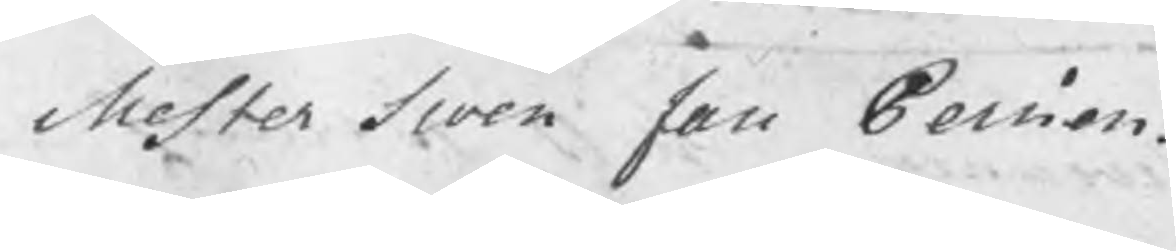Mester Swen Jan Persson.
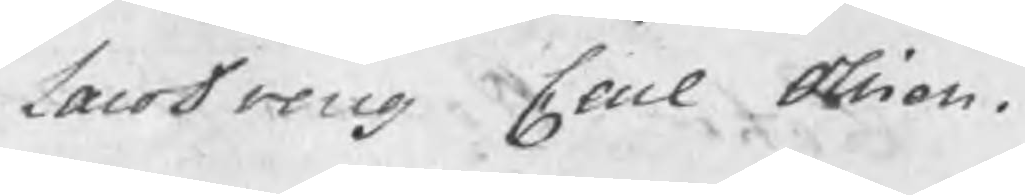LaroDreng Carl Olsson.
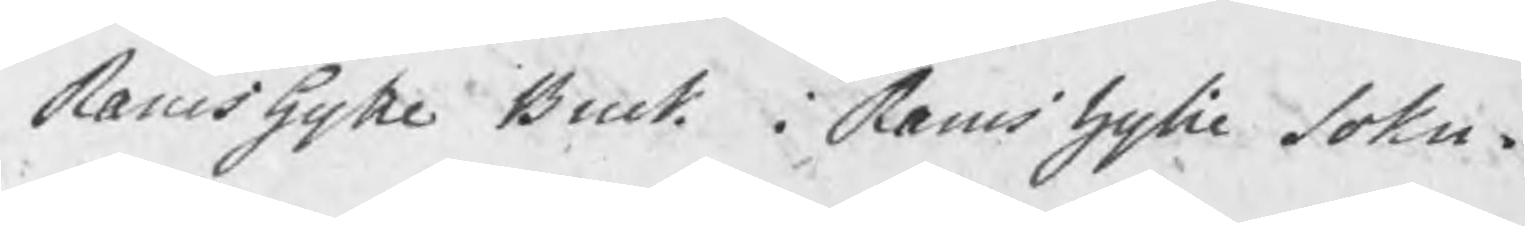Ramshytte Bruk i Ramshytte Sokn.
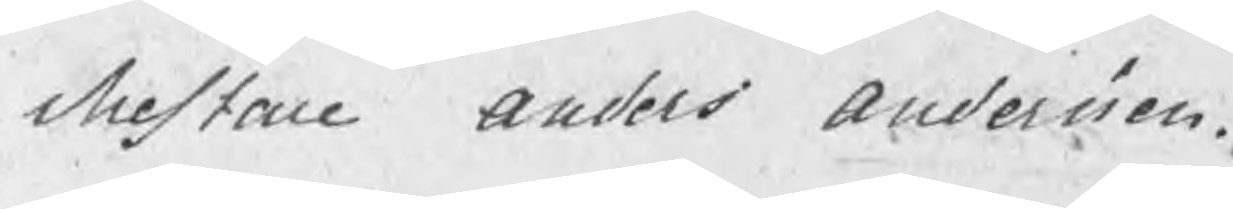Mestare Anders Andersson.
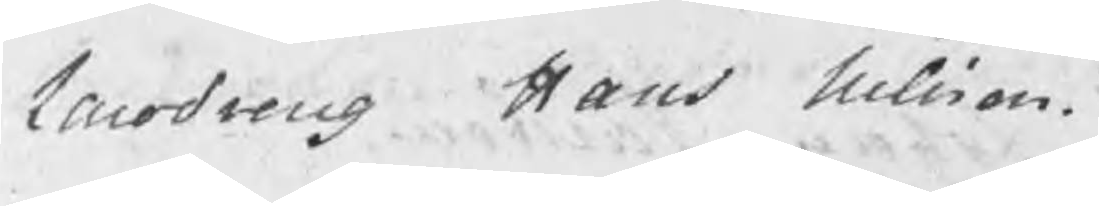Larodreng Hans Nilsson.
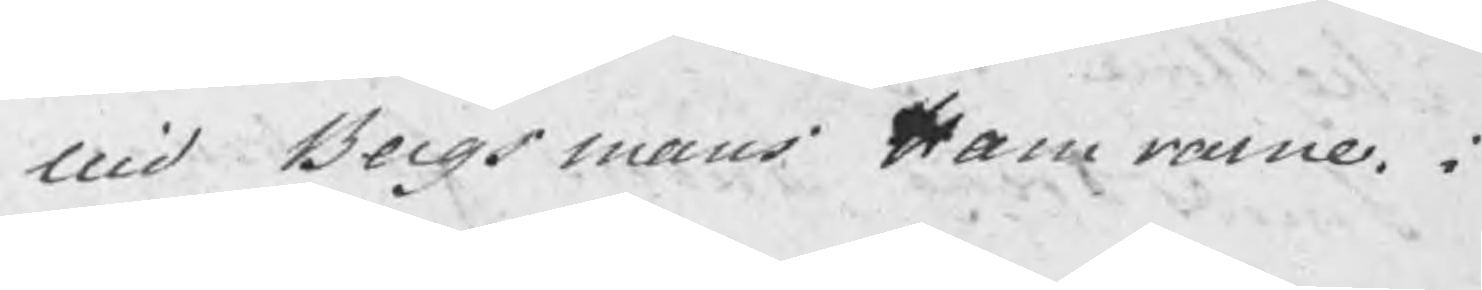uid Bergsmans Hamrarne i
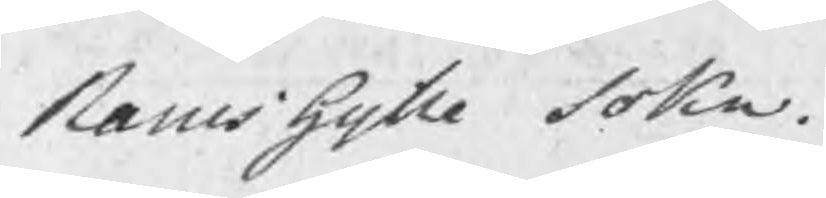Ramshytte Sokn
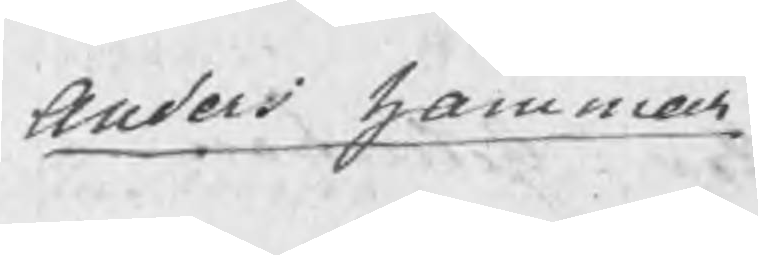Anders hammar
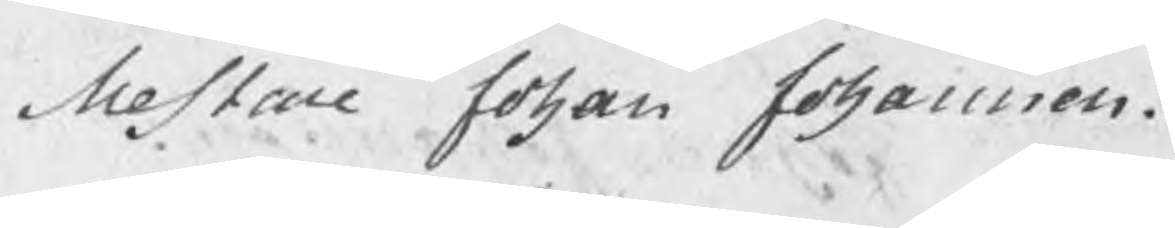Mestare Johan Johansson.
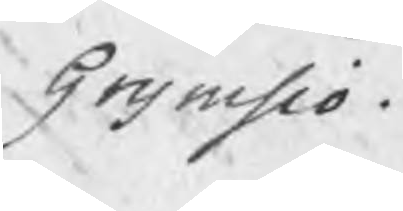Grymsjö.
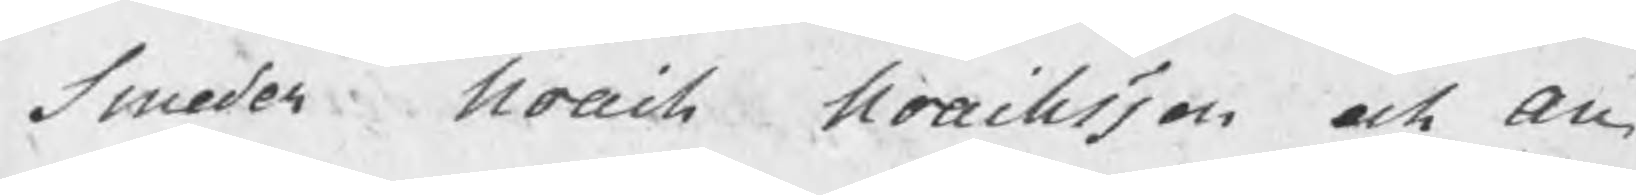Smeder Noach Noachsson och An¬
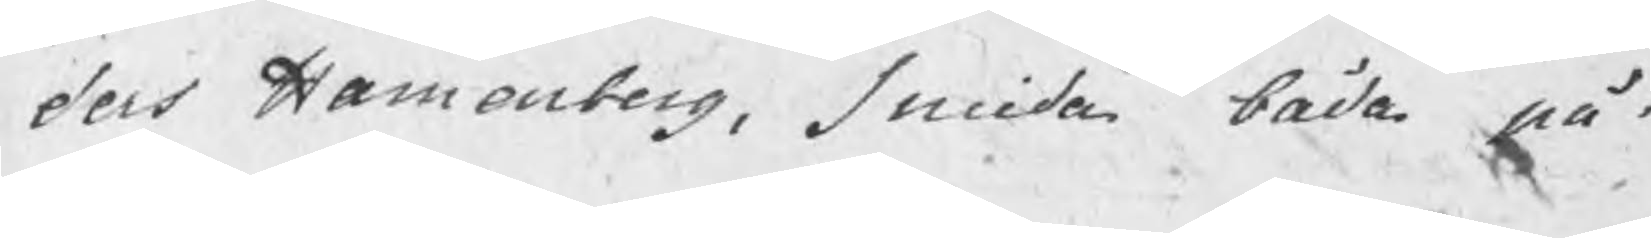ders Hamenberg, smida båda på
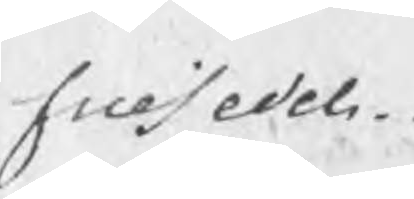frisedel
